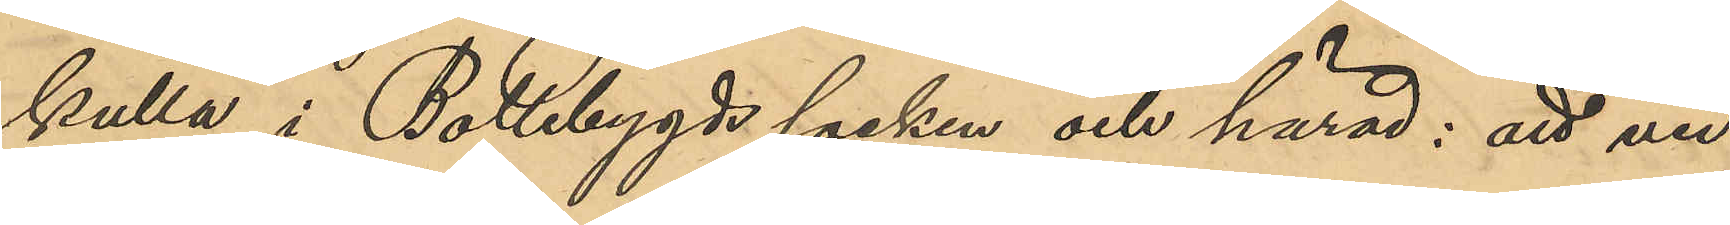kulla i Bollebygds socken och härad: att vid
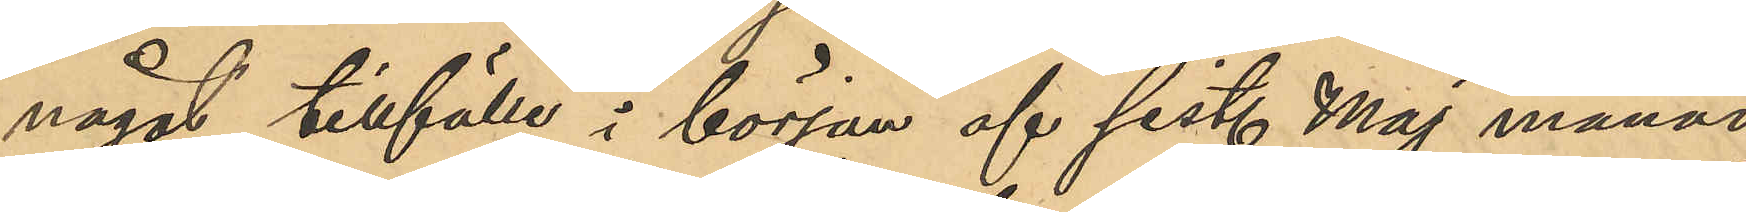något tillfälle i början af sist. Maj månad
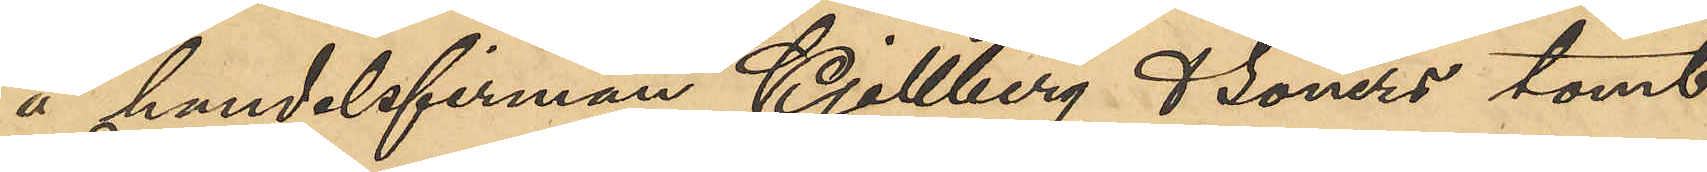å handelsfirman Kjellberg & Söners tomt
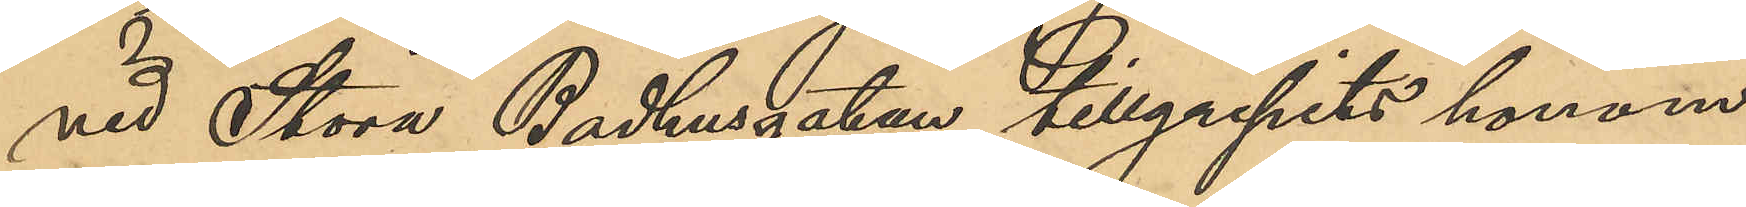vid Stora Badhusgatan tillgripits honom
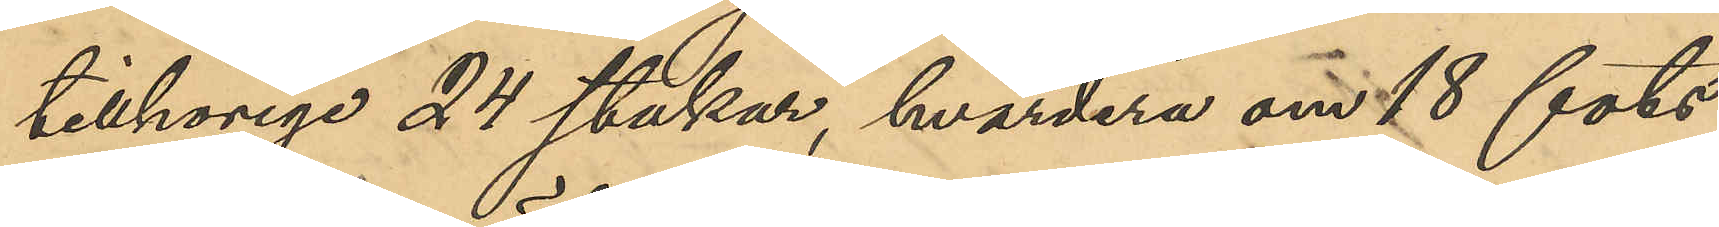tillhörige 24 stakar, hvadera om 18 fots
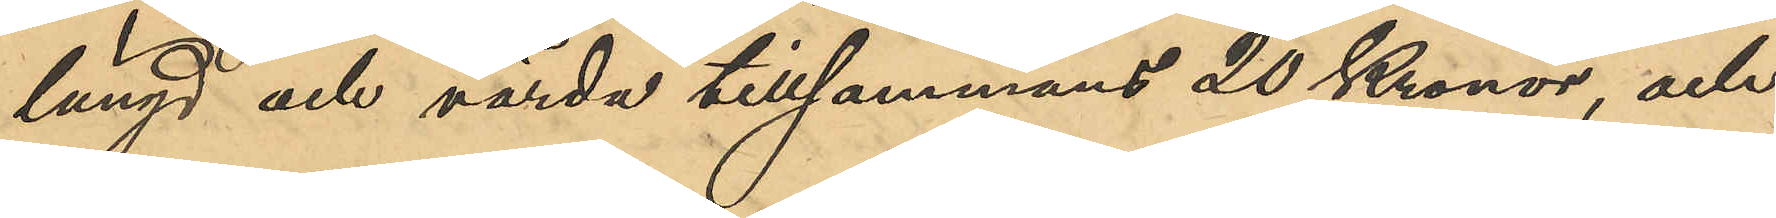längd och värda tillsammans 20 Kronor, och
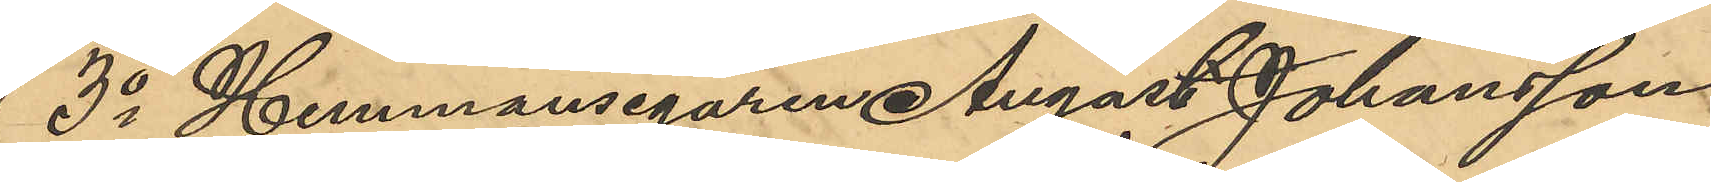3o Hemmansegaren August Johansson
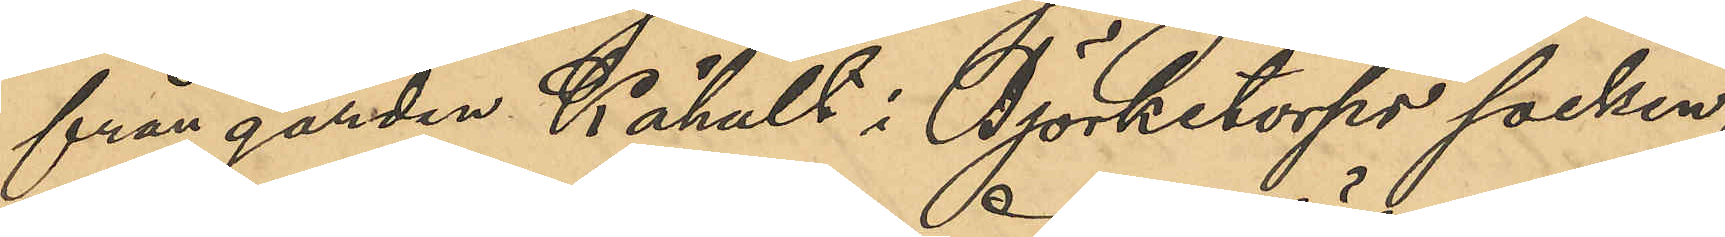från gården Kåhult i Björketorps socken,
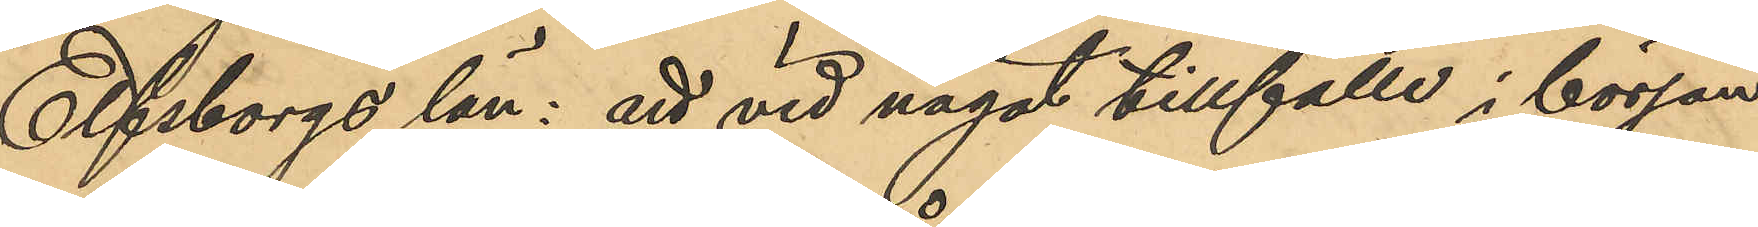Elfsborgs län: att vid något tillfälle i början
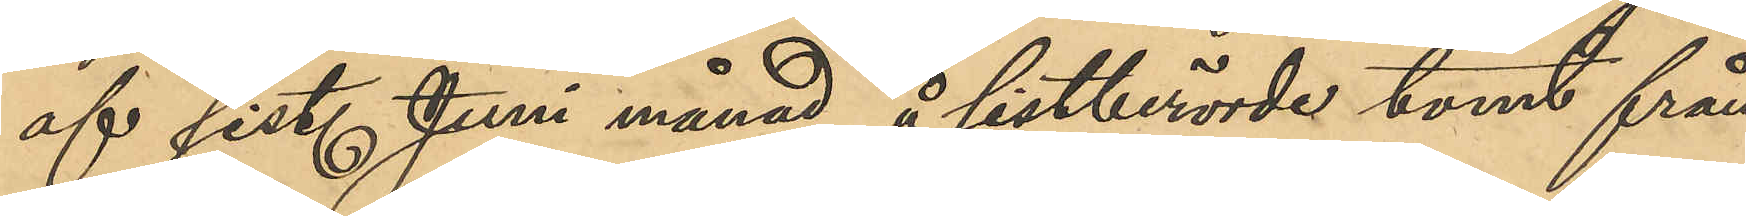af sist. Juni månad å sistberörde tomt från
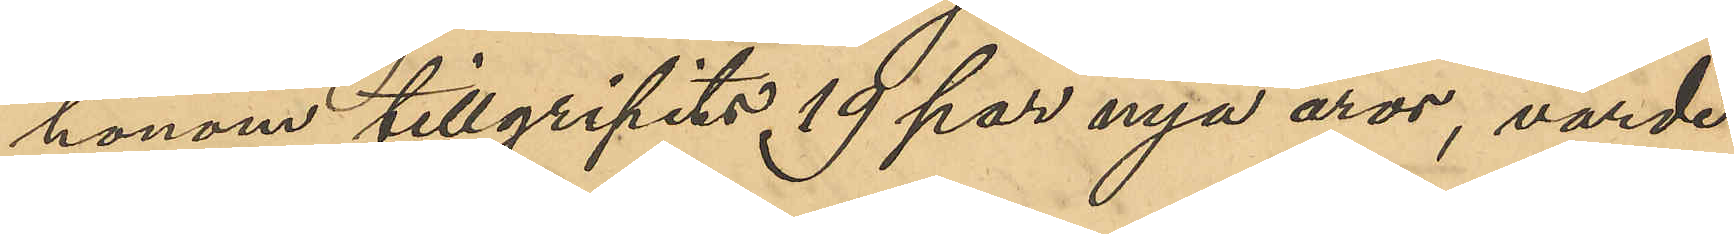honom tillgripits 19 par nya åror, värde
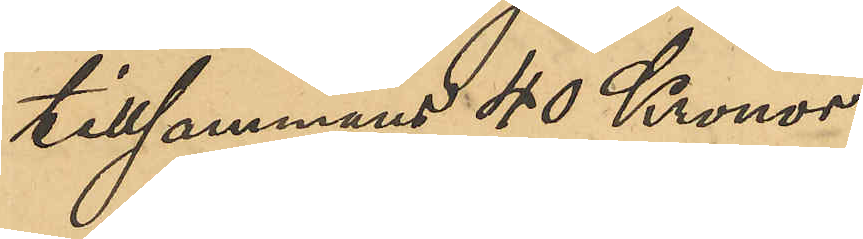tillsammans 40 Kronor.
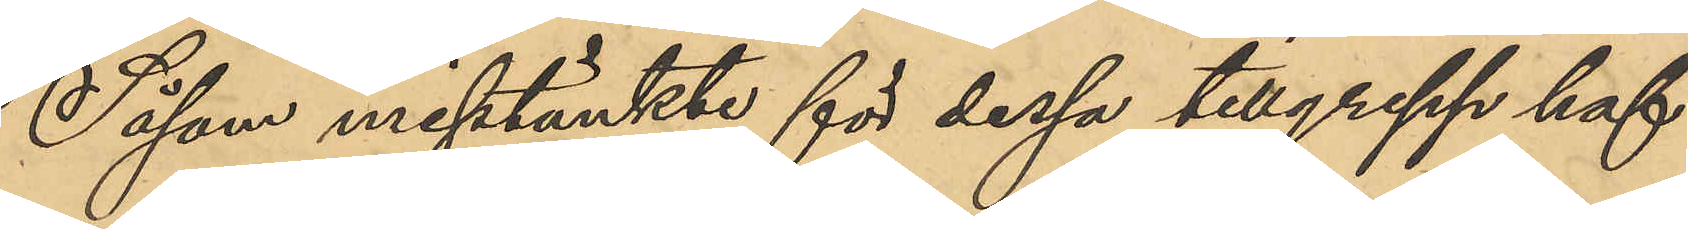Såsom misstänkt för dessa tillgrepp haf¬
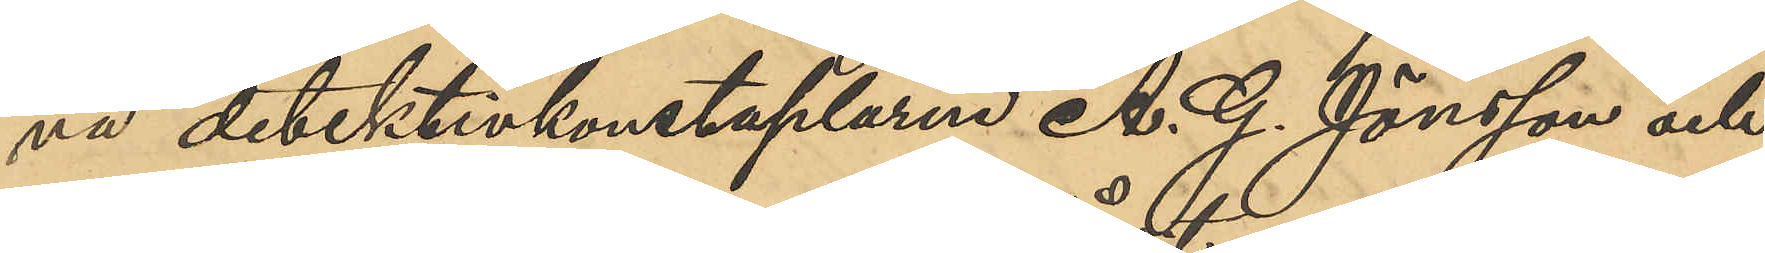va detektivkonstaplarne A. G. Jönsson och
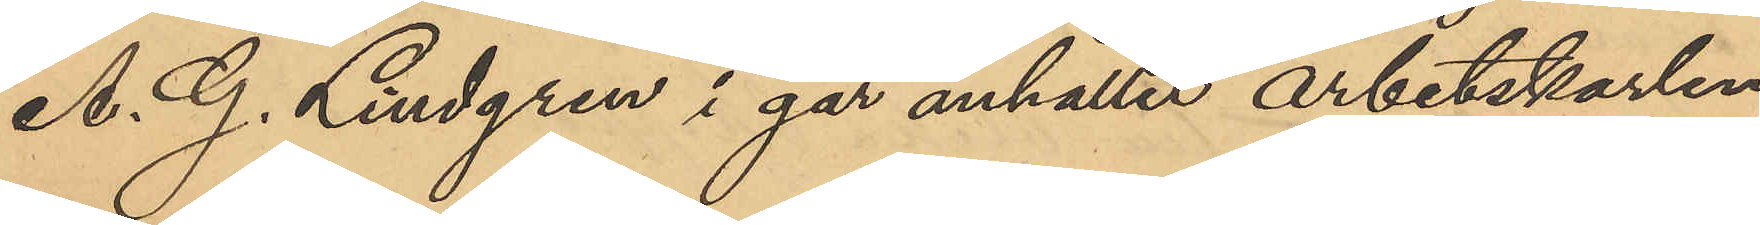A. G. Lindgren i går anhållit arbetskarlen
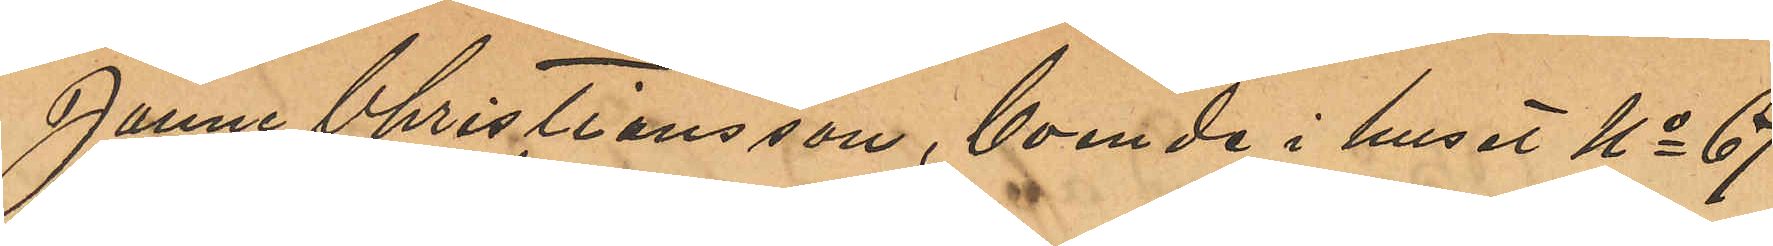Janne Christiansson, boende i huset No 67
